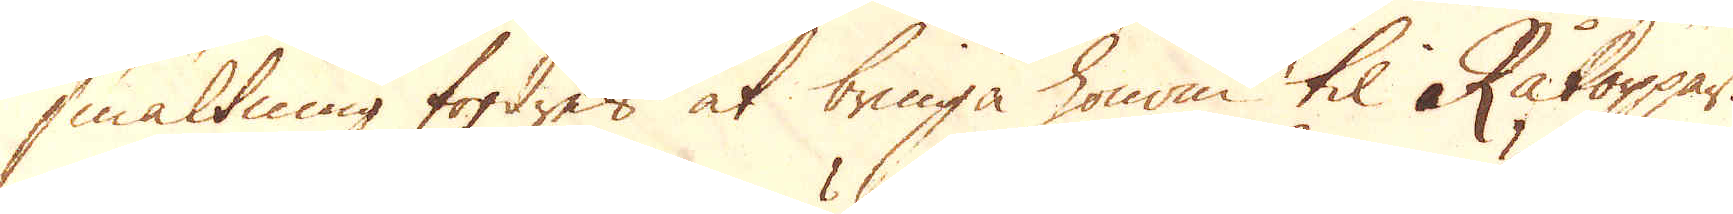smältning fordres at bringa honom til Råkoppar.
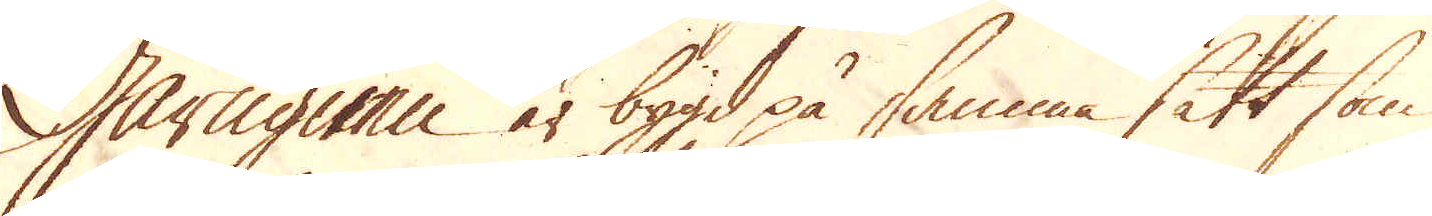Gårugnen är bygd på samma sätt som
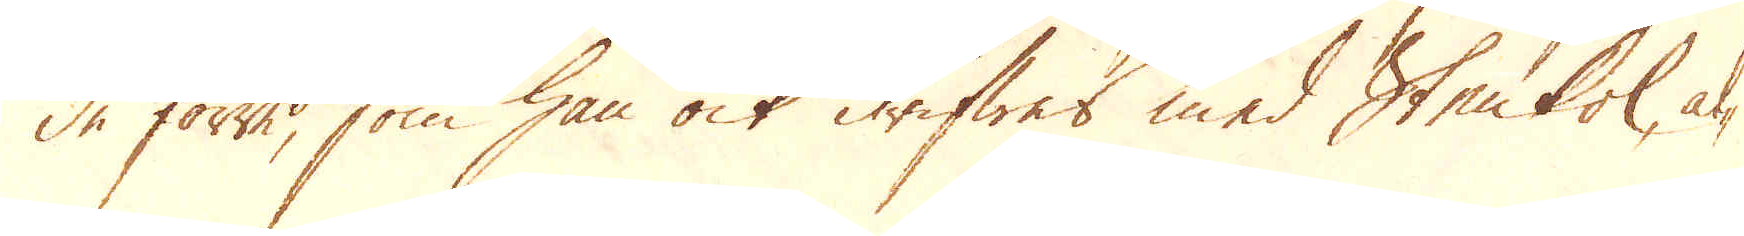de förre, som han ock drifwes med Stenkol, al-
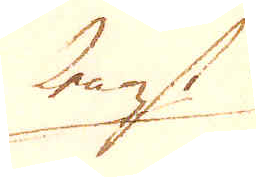lenast
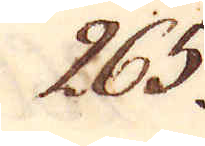265.
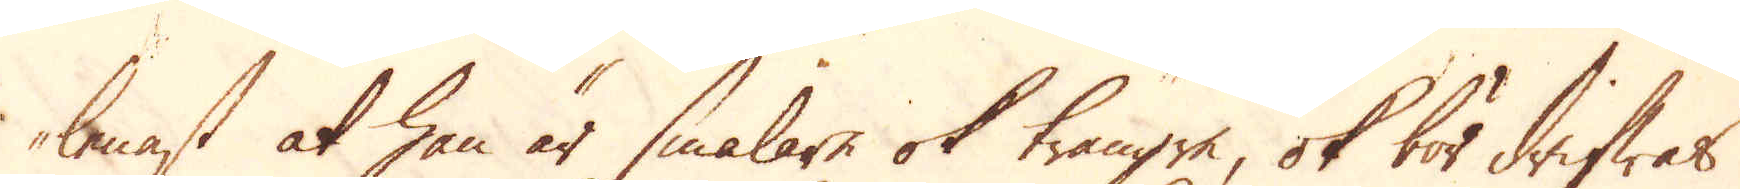lenast at han är smalare ok trängre, ok bör drifwas
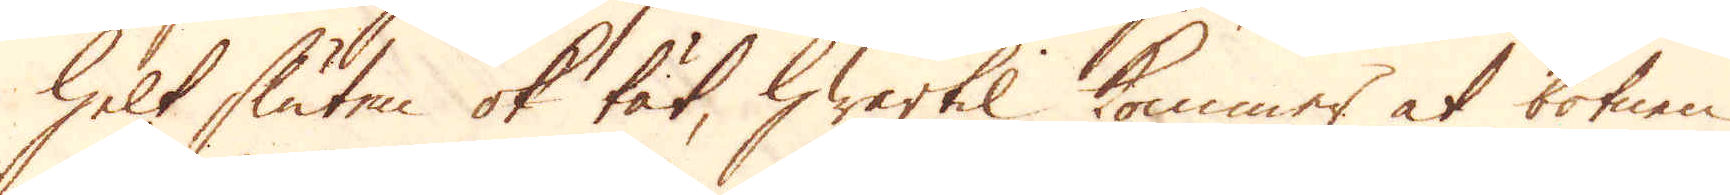helt sluten ok tät, hwartil kommer at botnen
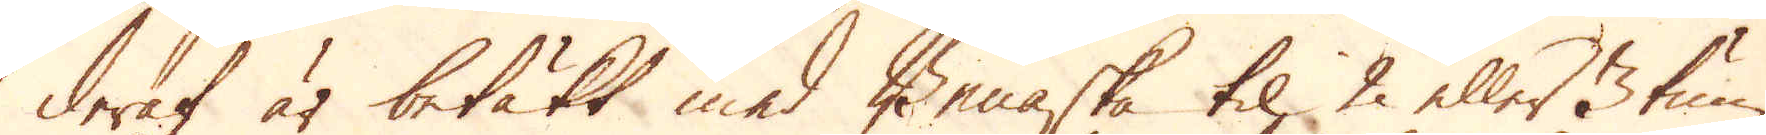deraf är betäkt med Benaska til 2 eller 3 tum
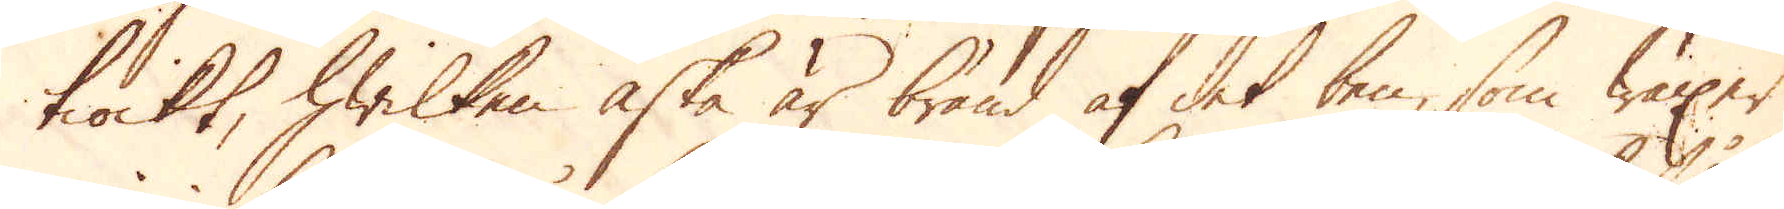tiockt, hwilken aska är bränd af det den, som wäxer
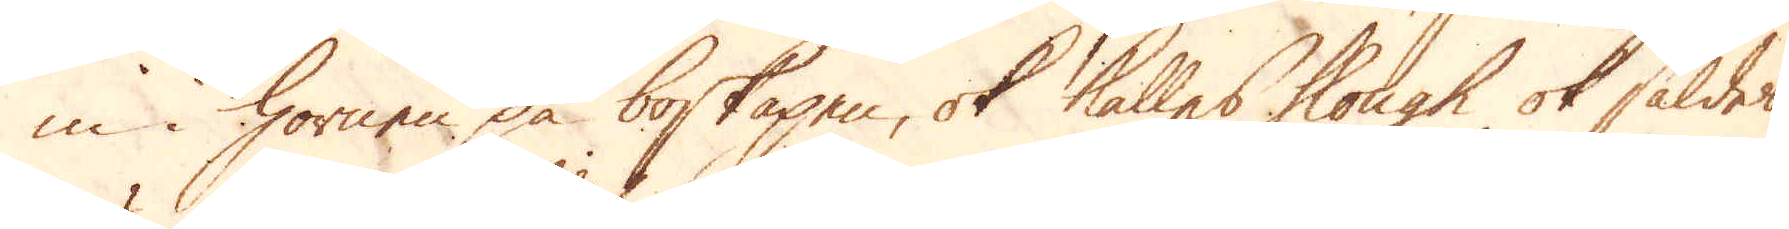in i hornen på boskapen, ok kallas slough ok såldes
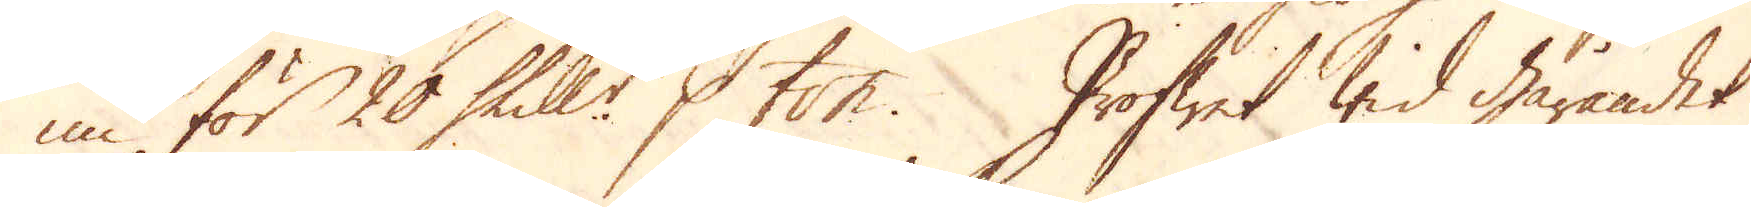nu för 20 Skill:r p ton. Profwet wid gårandet
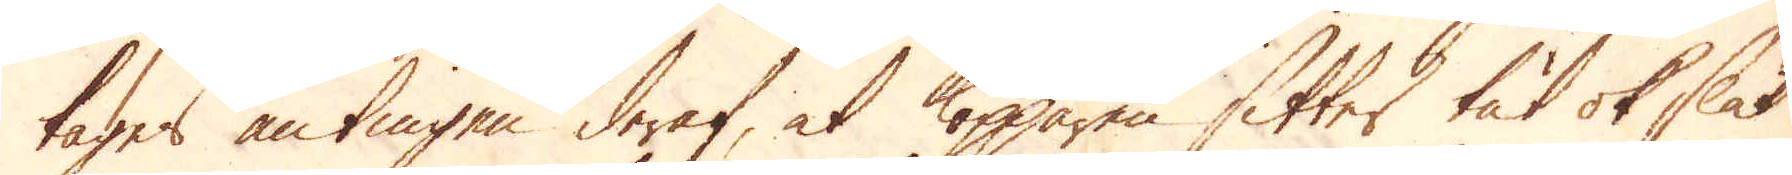tages antingen deraf, at kopparen sitter tät ok slät
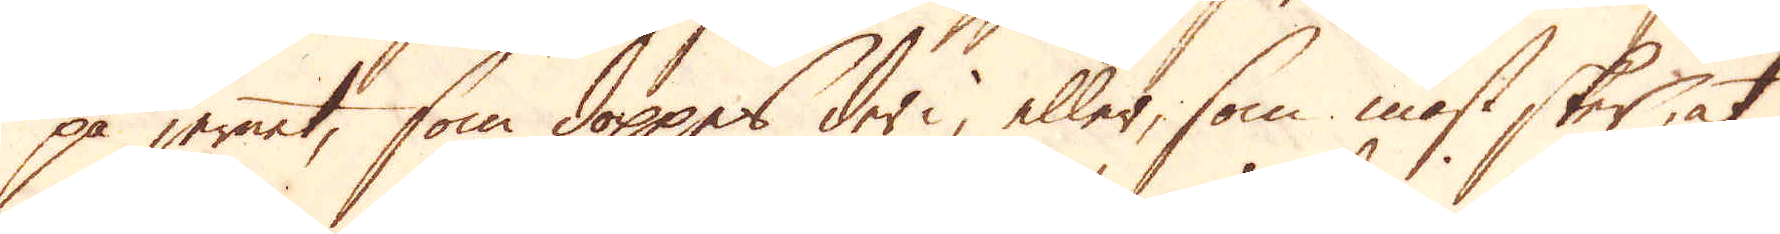på jernet, som doppes deri, eller, som mäst sker, at
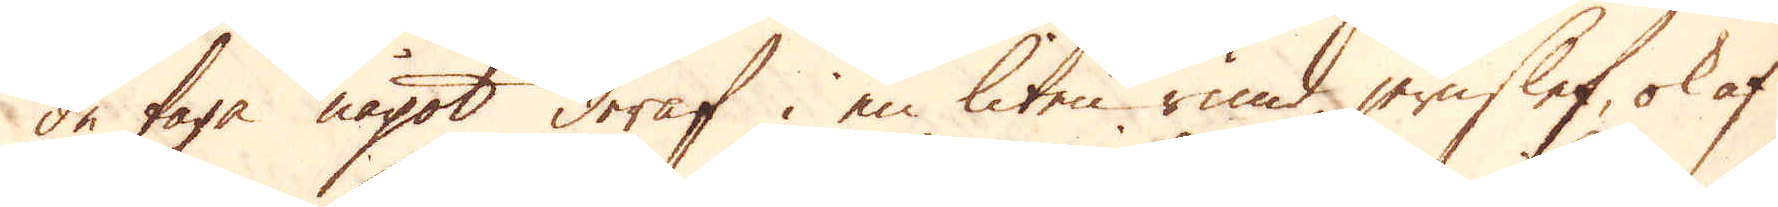de taga något deraf i en liten rund jernslef, ok af
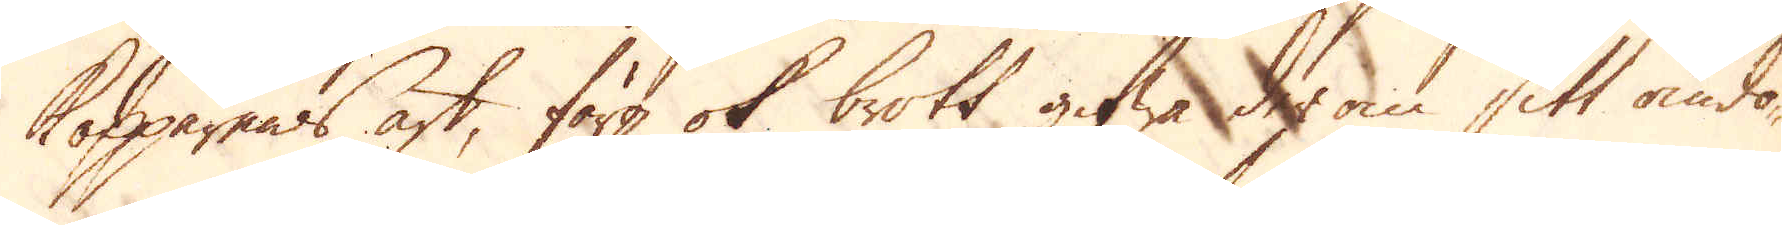kopparens art, färg ok brott gifwa der om sitt omdö-
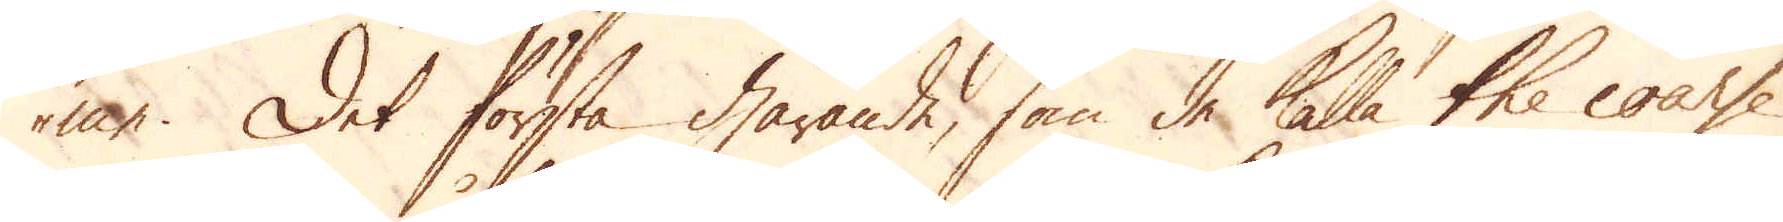me. Det första gårande, som de kalla the coarse
